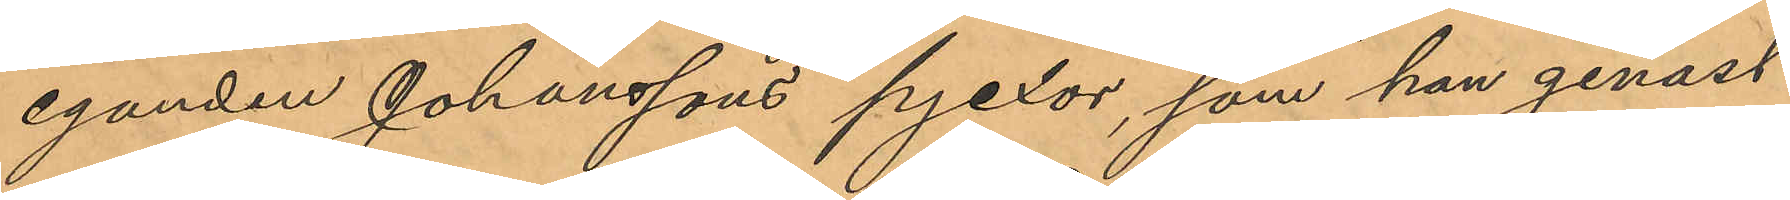eganden Johanssons pjexor, som han genast
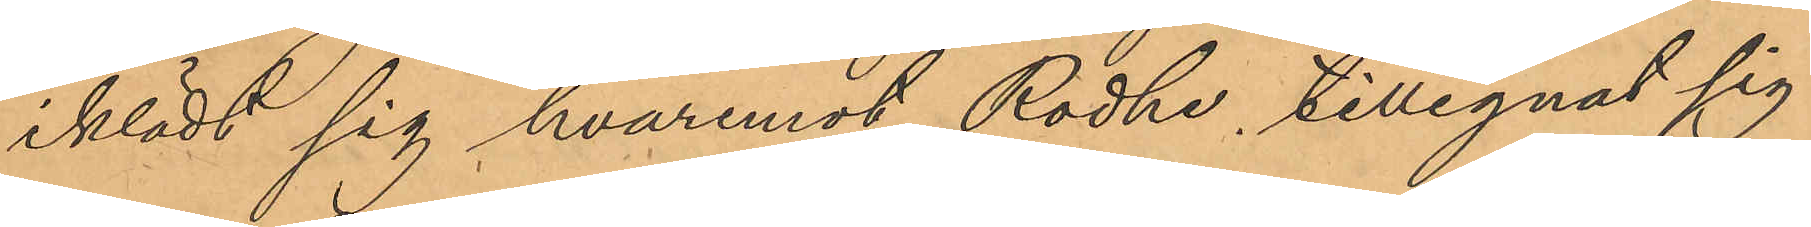iklädt sig, hvaremot Rodhe, tillegnat sig
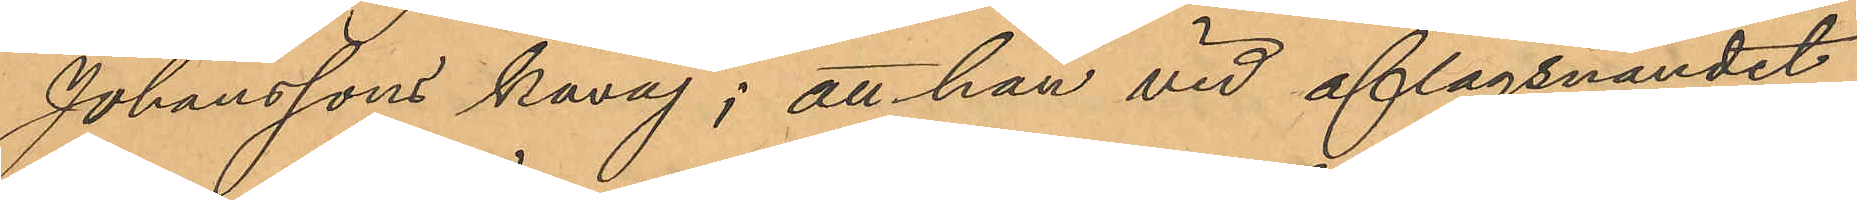Johanssons kavaj; att han vid aflägsnandet
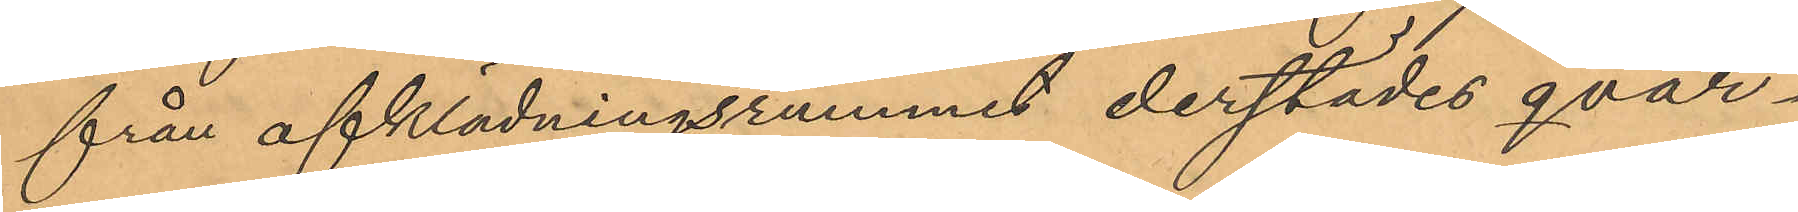från afklädningsrummet derstädes qvar¬
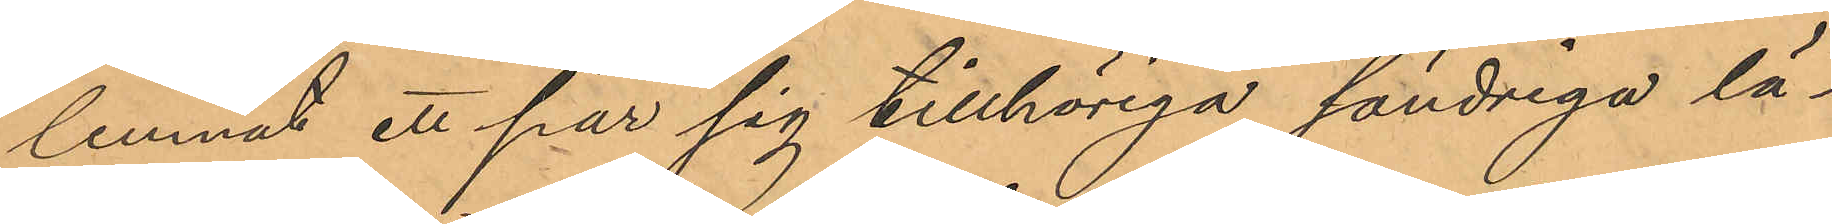lemnat ett par sig tillhöriga söndriga lä¬
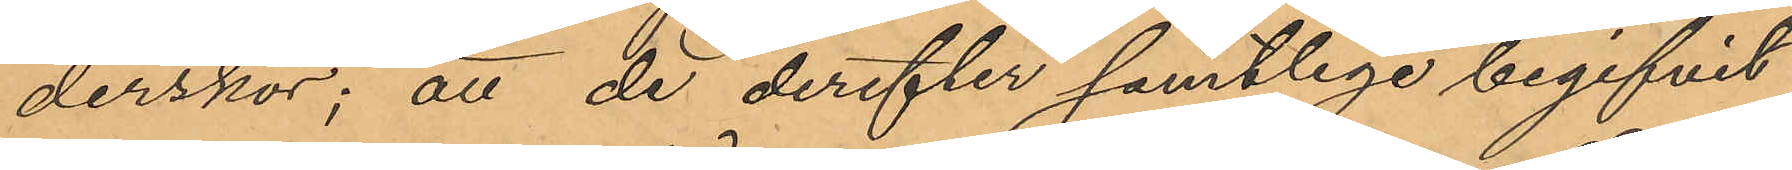derskor; att de derefter samtlige begifvit
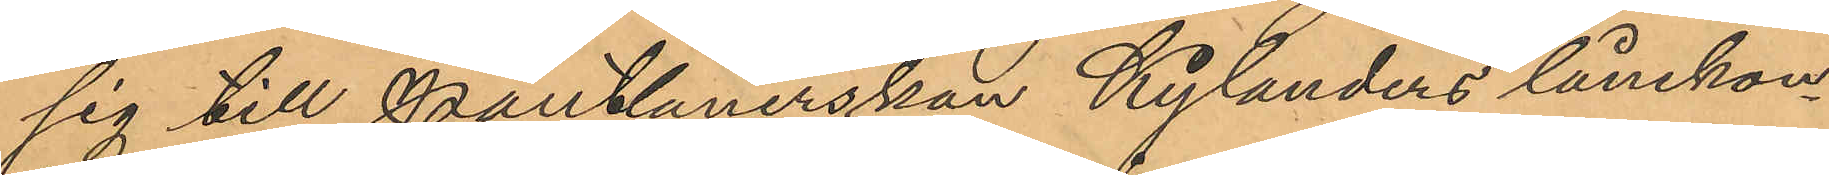sig till Pantlånerskan Kylanders lånekon¬
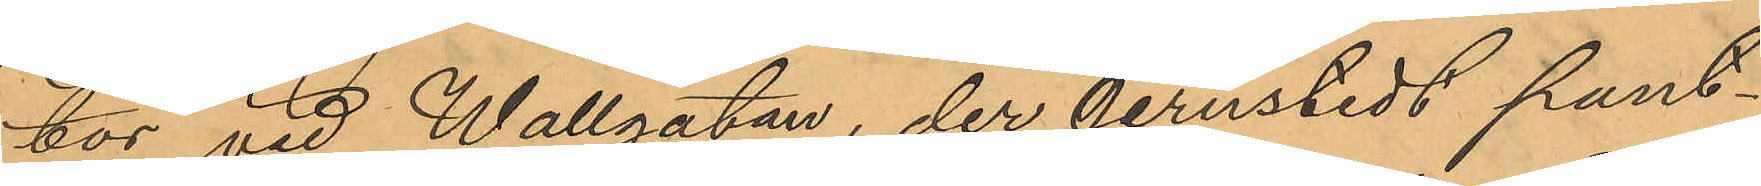tor vid Wallgatan, der Jernstedt pant¬
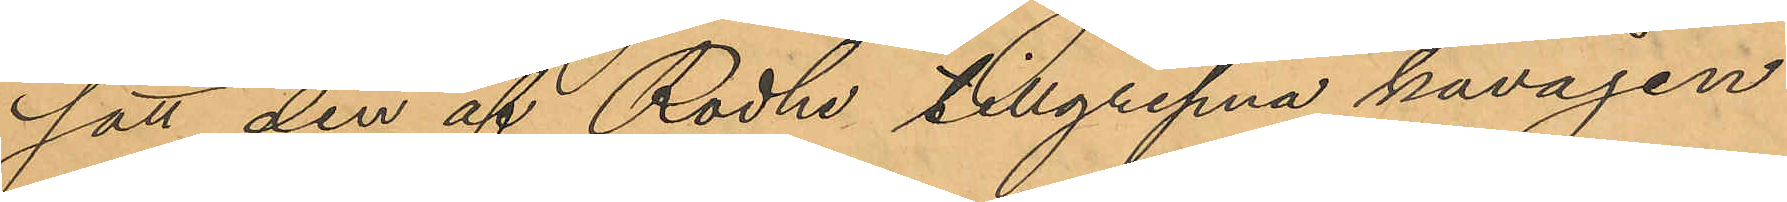satt den af Rodhe tillgripna kavajen
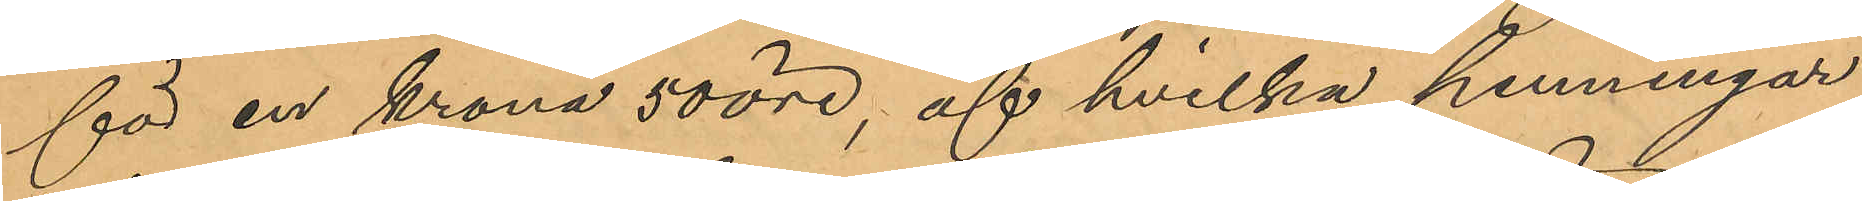för en krona 50 öre, af hvilka penningar
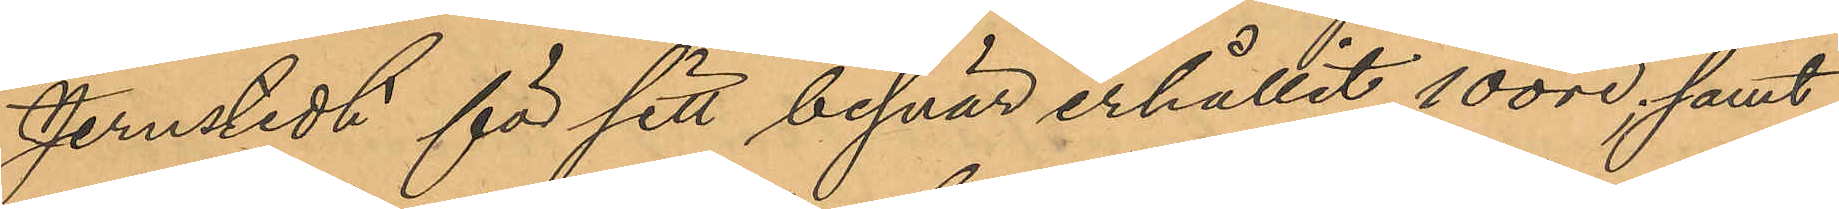Jernstedt för sitt besvär erhållit 10 öre, samt
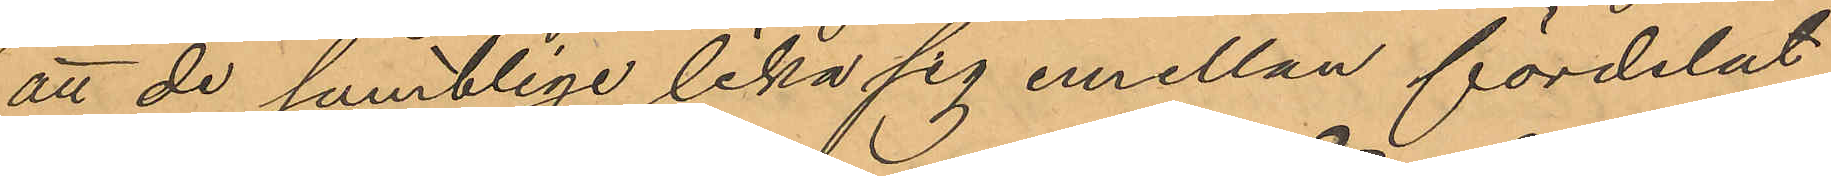att de samtlige lika sig emellan fördelat
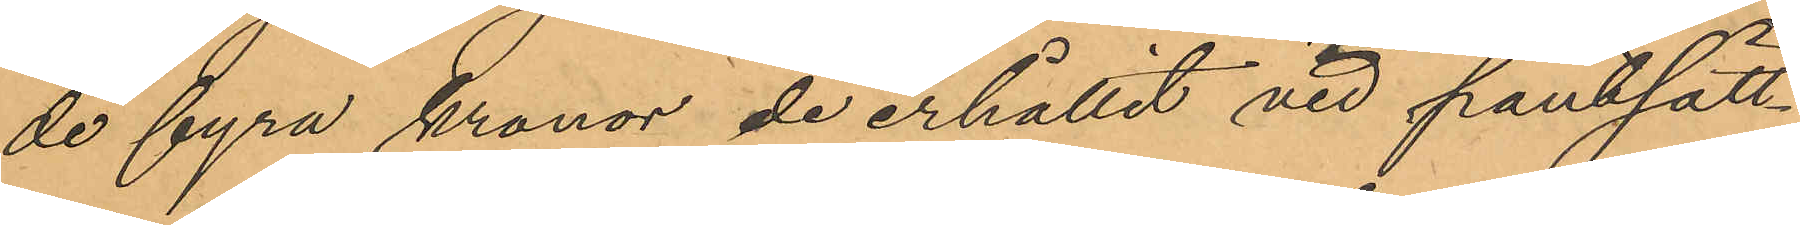de fyra kronor de erhållit vid pantsätt¬
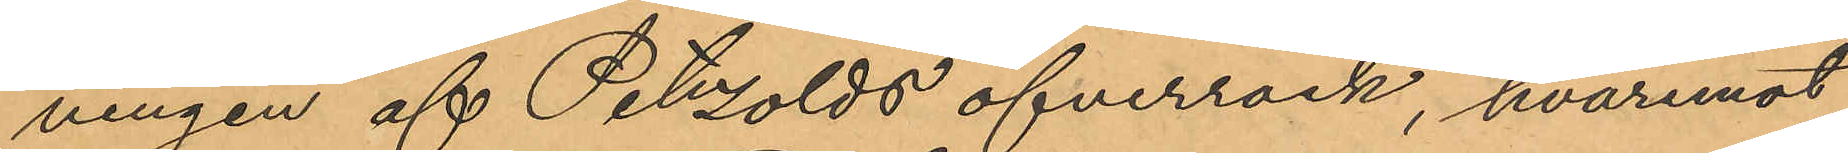ningen af Petzolds öfverrock, hvaremot
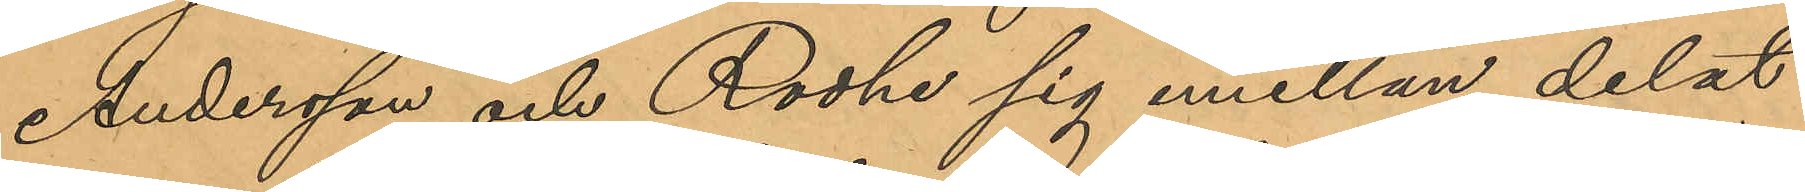Andersson och Rodhe sig emellan delat
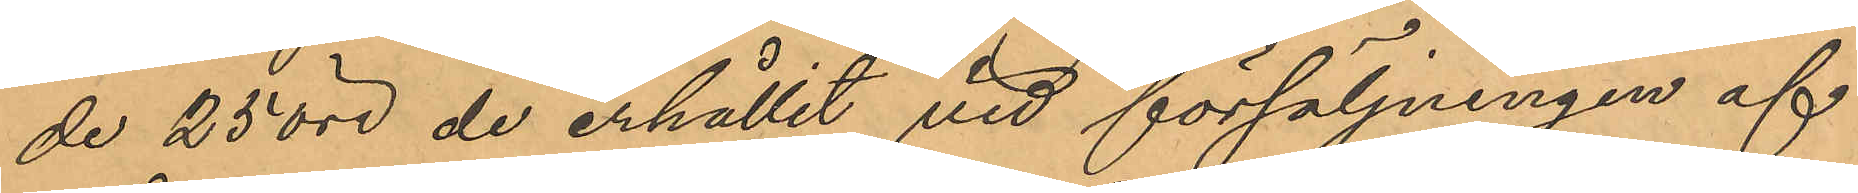de 25 öre de erhållit vid försäljningen af
